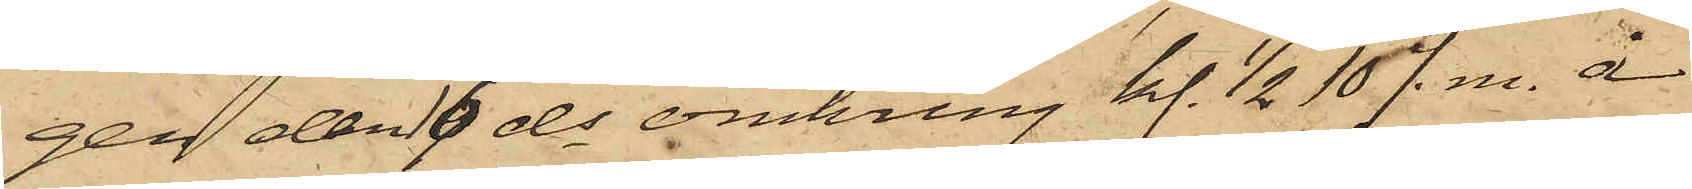gen den 16 ds omkring kl. 1/2 10 f. m. å
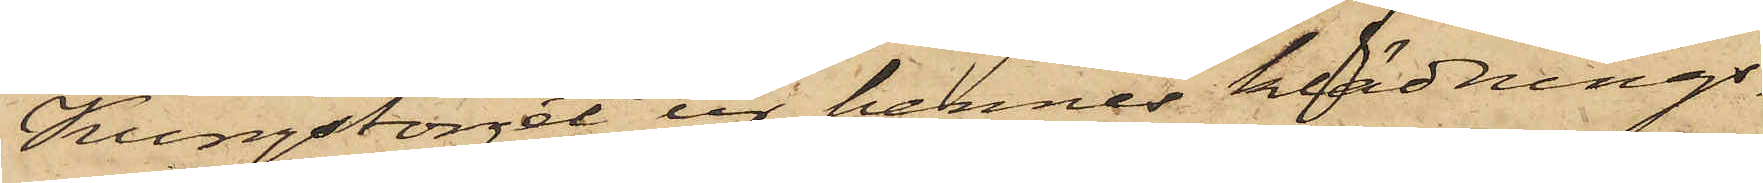Kungstorget ur hennes klädnings¬
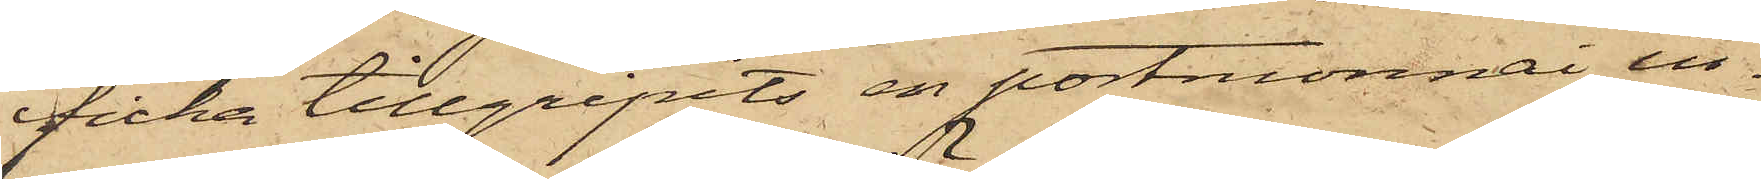ficka tillgripits en portmonnai, in¬
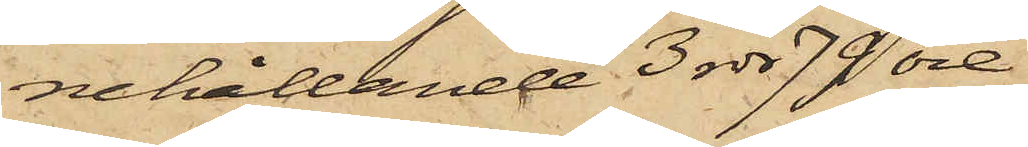nehållande 3 rdr 79 öre.
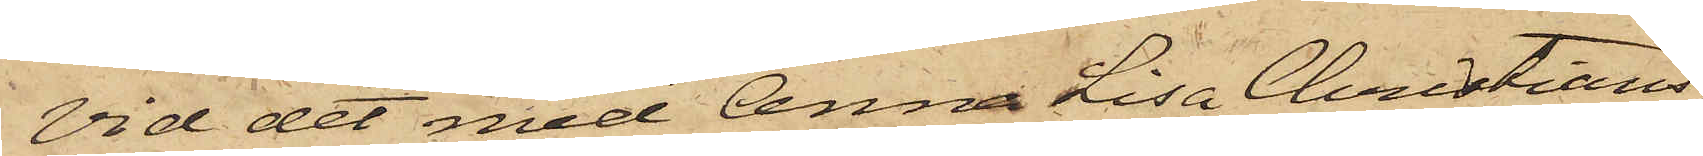Vid det med Anna Lisa Christians¬
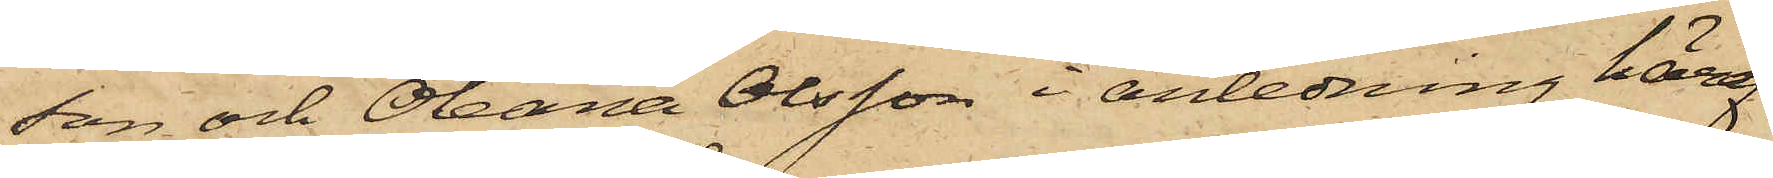son och Oleana Olsson i anledning häraf
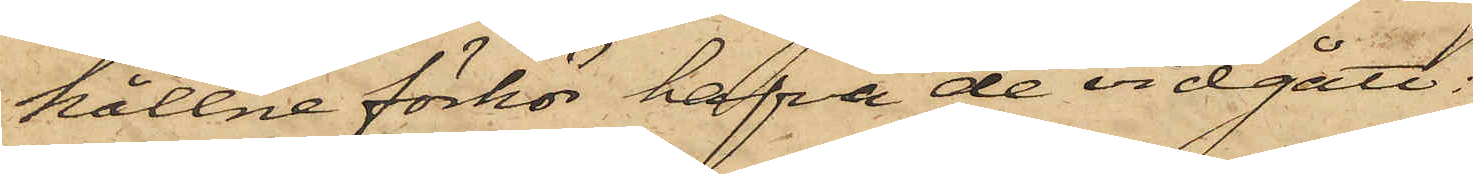hållne förhör hafva de vidgått:
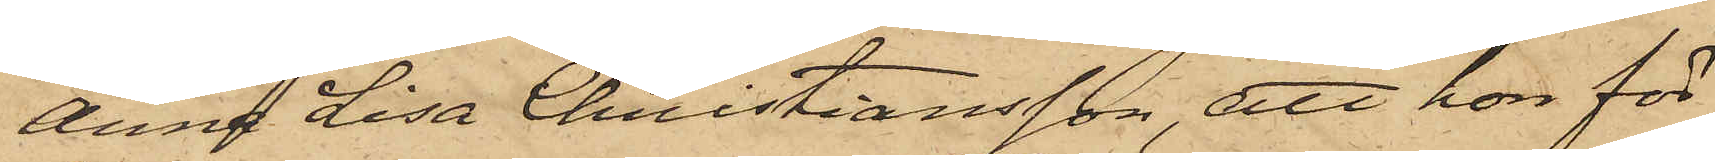Anna Lisa Christiansson, att hon för¬
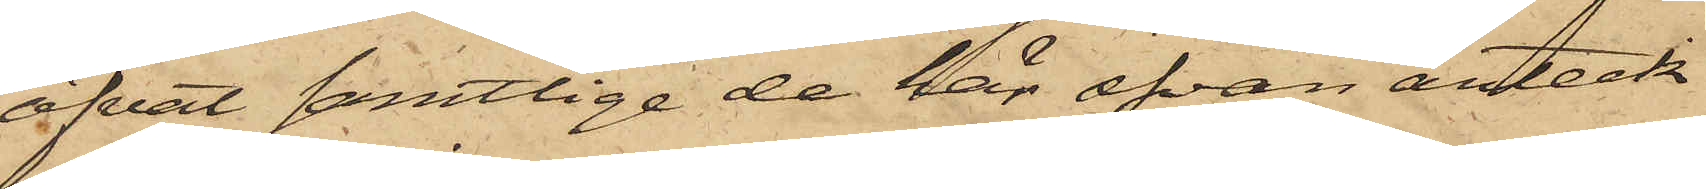öfvat samtlige de här ofvan anteck¬
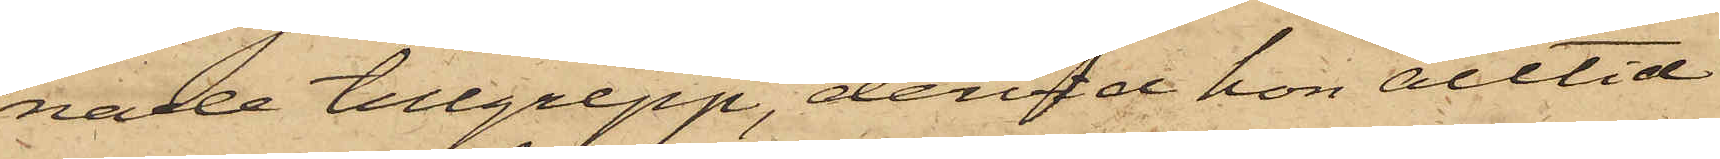nade tillgrepp, dervid hon alltid
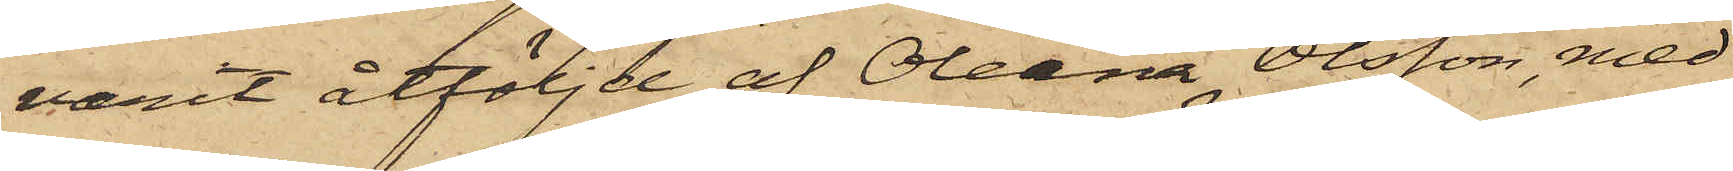varit åtföljd af Oleana Olsson, med
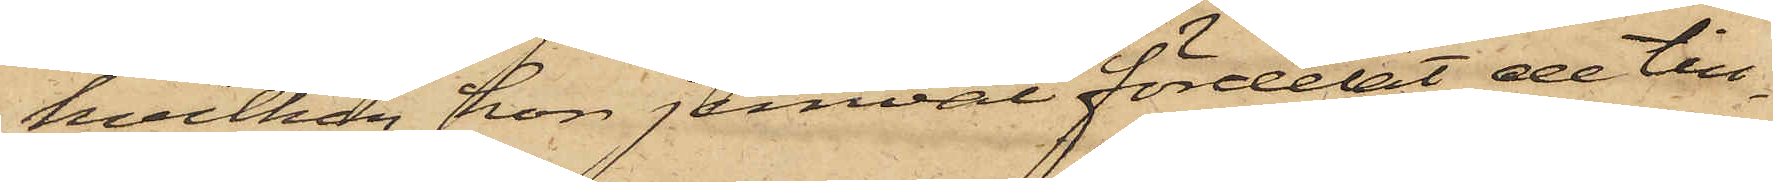hvilken hon jemväl fördelat de till¬
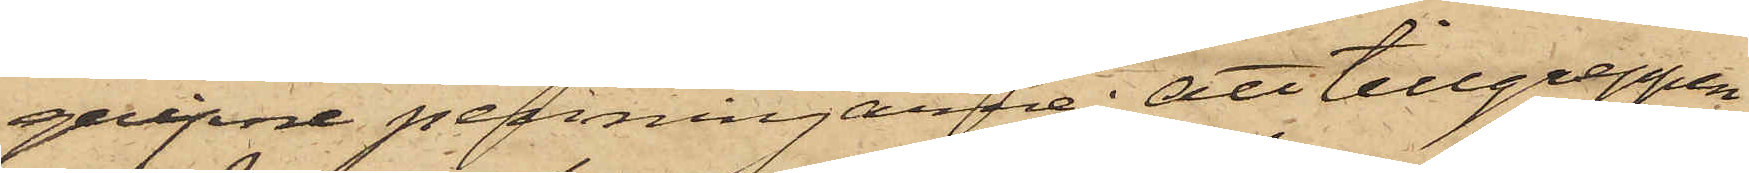gripne penningarne; att tillgreppen
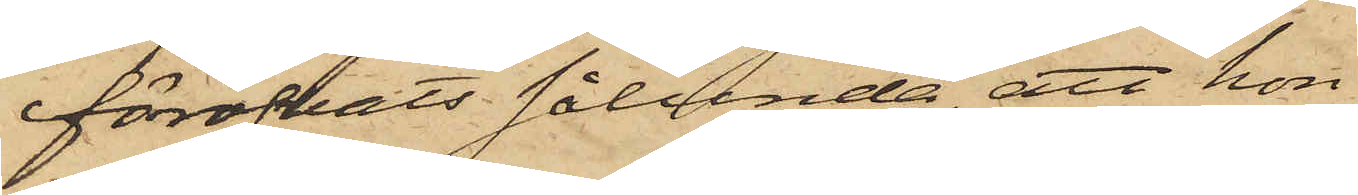föröfvats sålunda, att hon
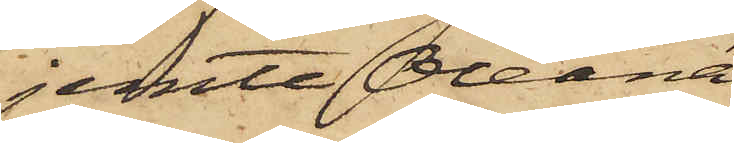jemte Oleana
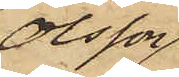Olsson
